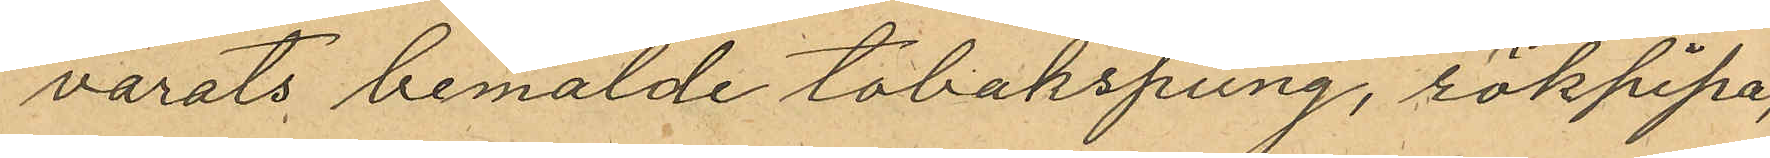varats bemälde tobakspung, rökpipa,
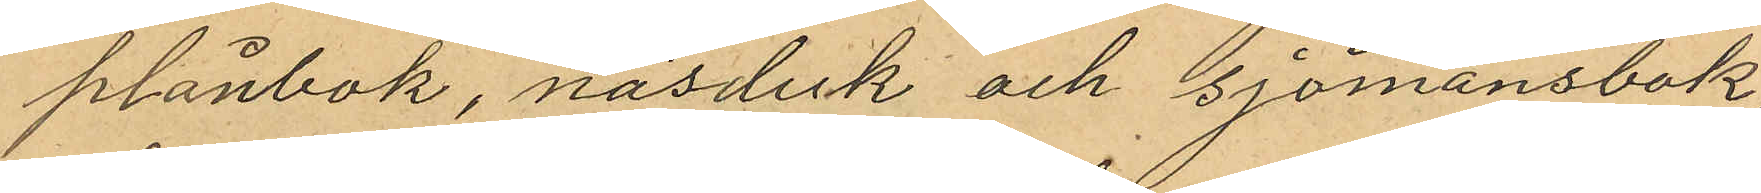plånbok, näsduk och sjömansbok,
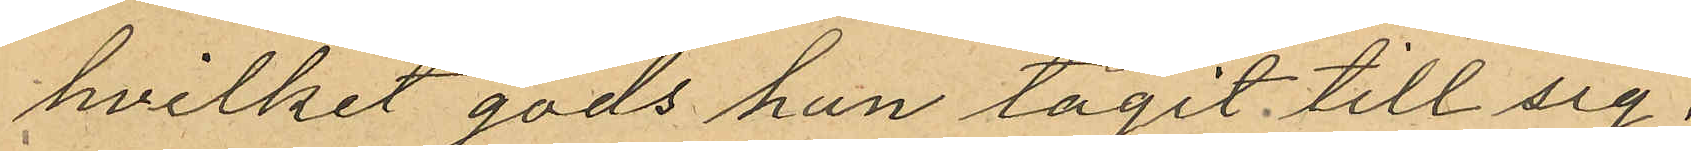hvilket gods han tagit till sig.
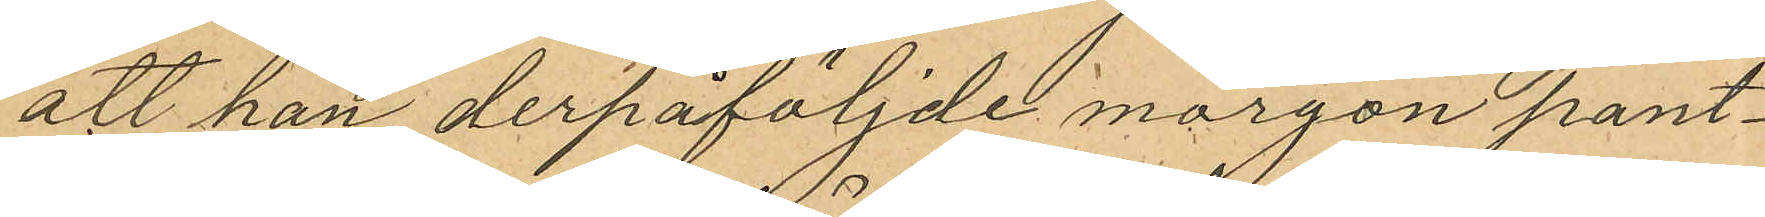att han derpåföljde morgon pant¬
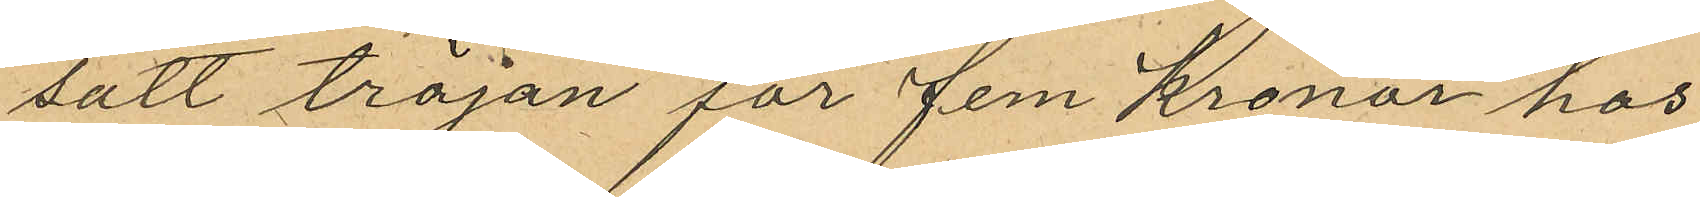satt tröjan för fem Kronor hos
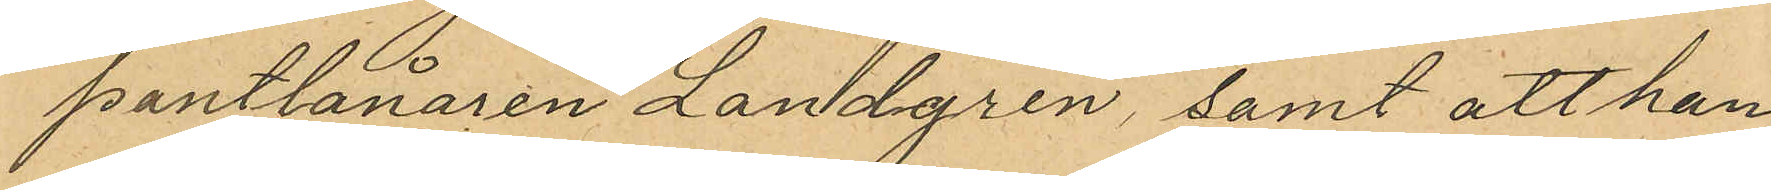pantlånaren Landgren samt att han
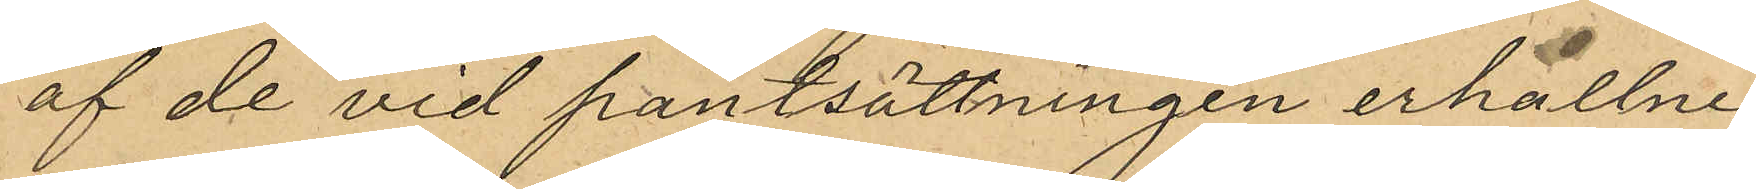af de vid pantsättningen erhållne
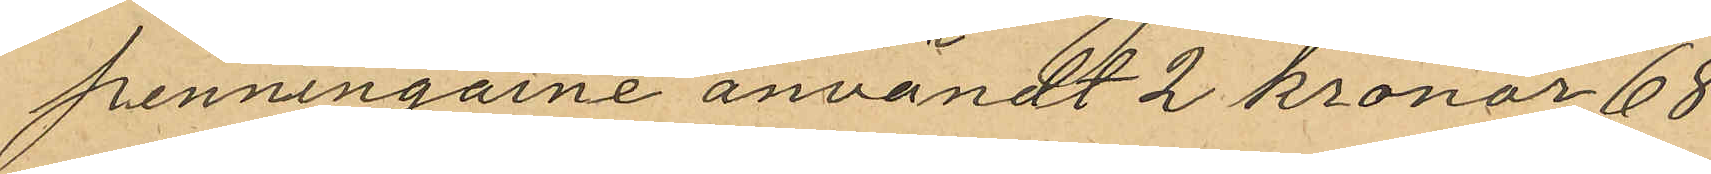penningarne användt 2 kronor 68
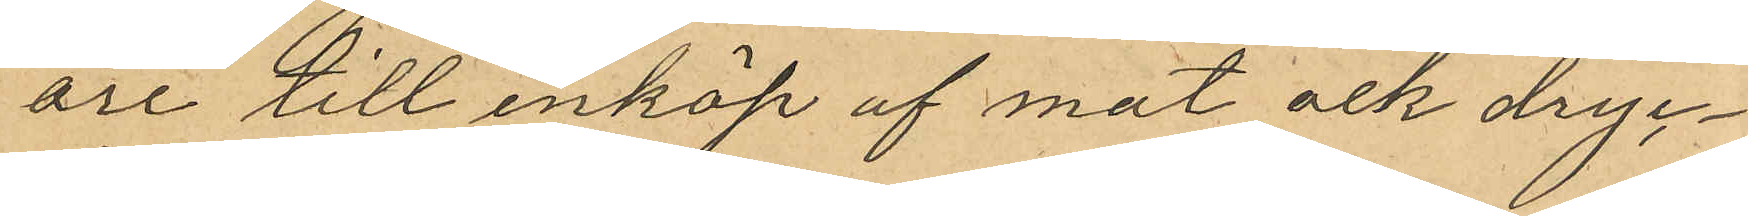öre till inköp af mat ock dryc¬
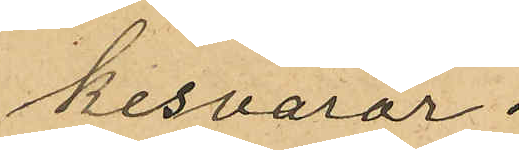kesvaror.
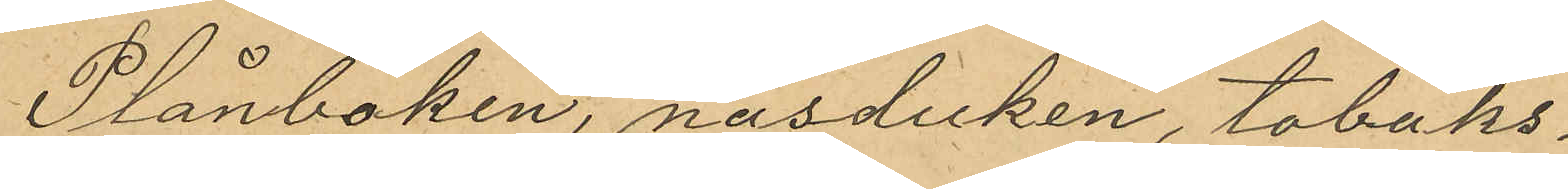Plånboken, näsduken, tobaks¬
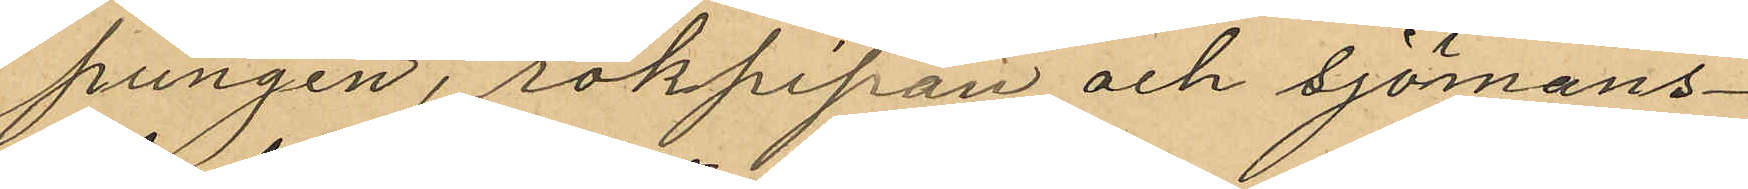pungen, rökpipan och sjömans¬
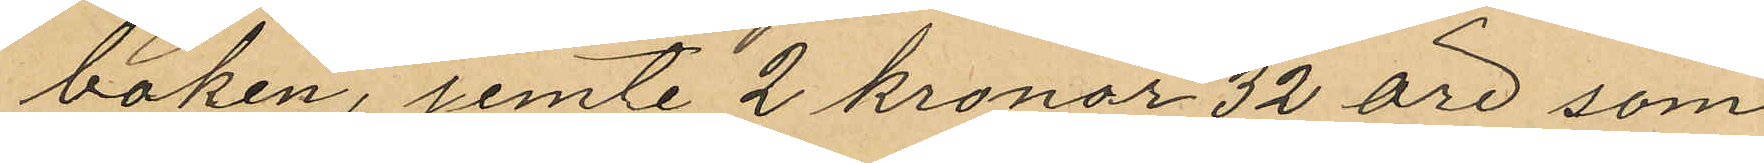boken, jemte 2 kronor 32 öre som
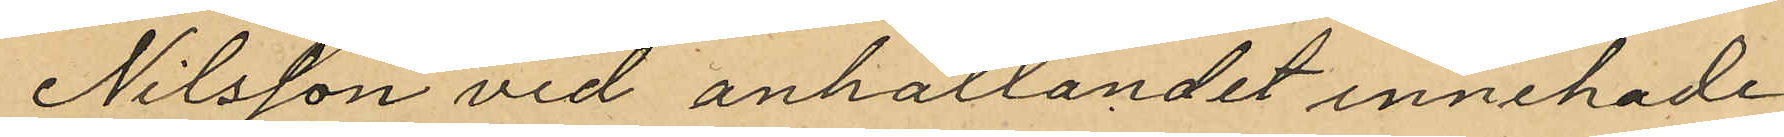Nilsson vid anhållandet innehade
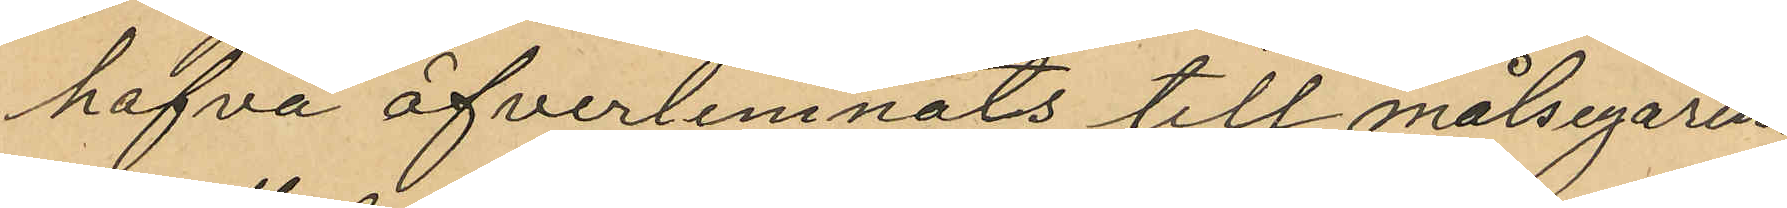hafva öfverlemnats till målsegaren.
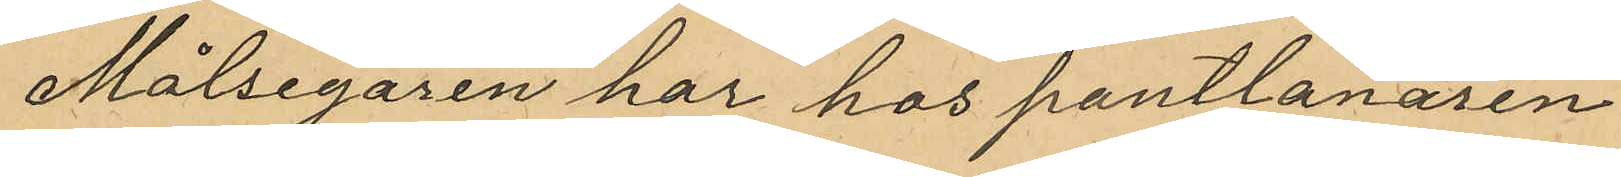Målsegaren har hos pantlånaren
